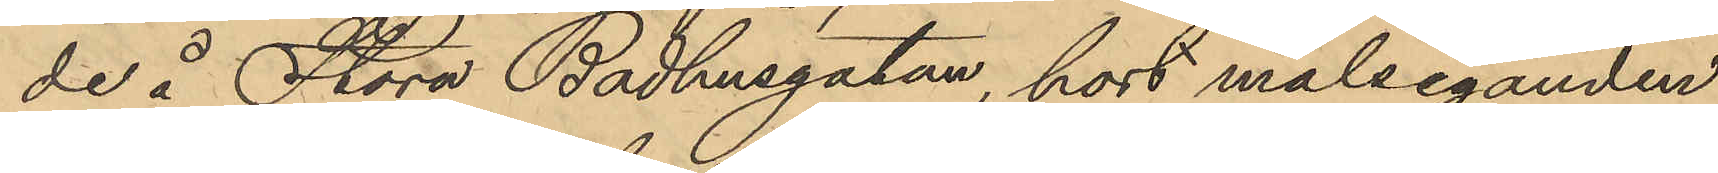de å Stora Badhusgatan, hört målseganden
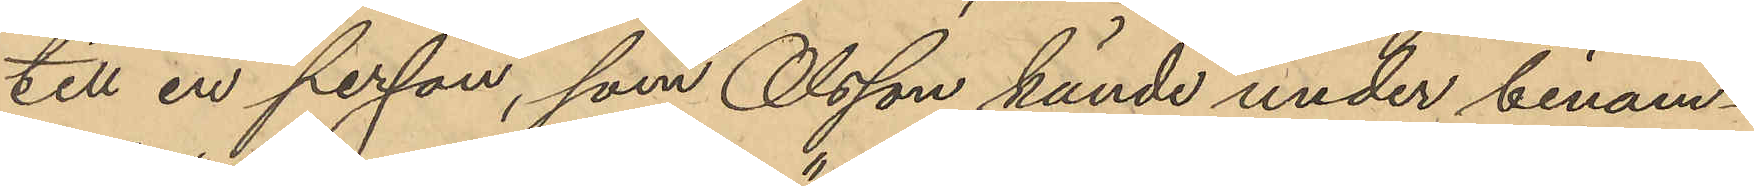till en person, som Olsson kände under binam¬
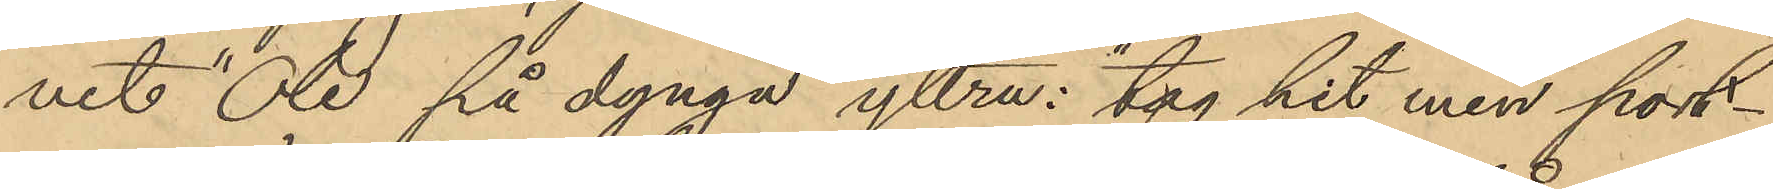net "Ole på dynga" yttra: "tag hit min port¬
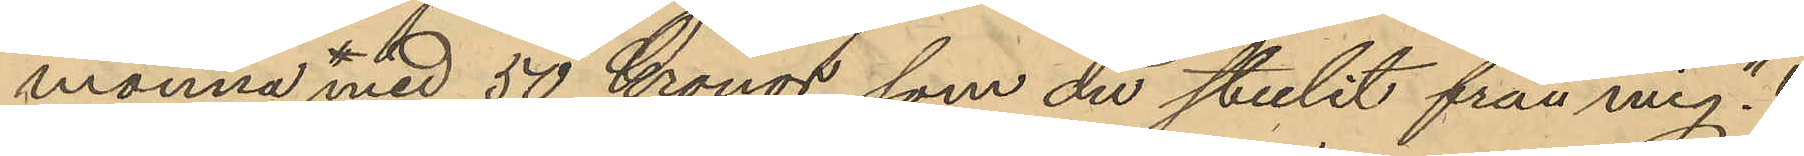monnä med 50 Kronor, som du stulit från mig";
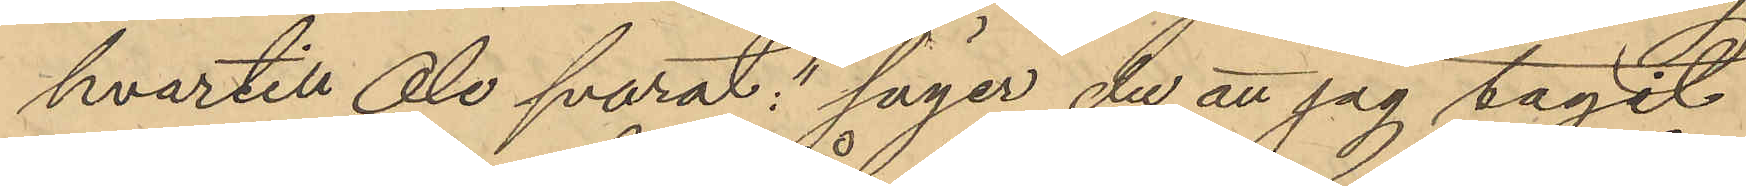hvartill Ole svarat: "säger du att jag tagit
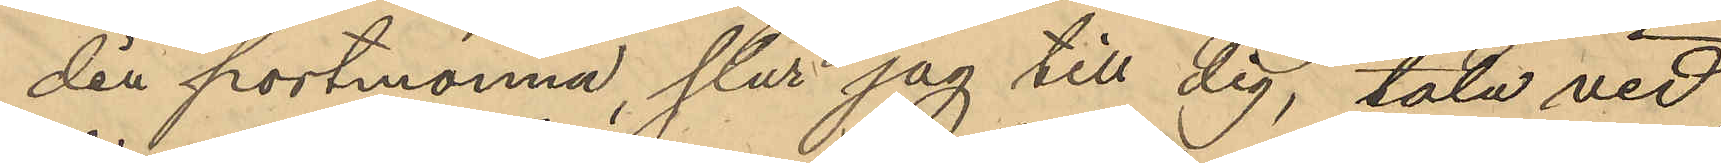dina portmonnän, slår jag till dig, tala vid
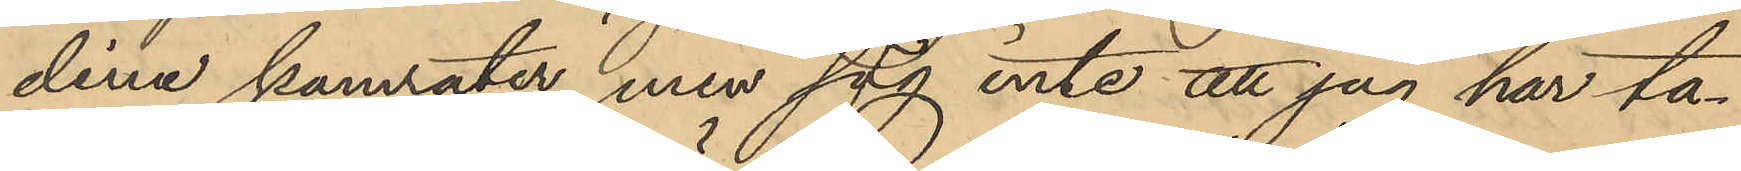dina kamrater, men säg inte att jag har ta¬
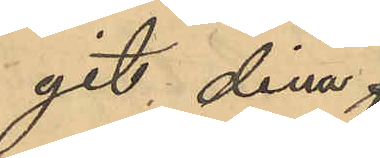git dina
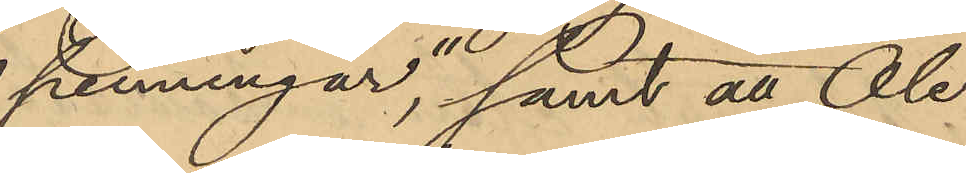penningar"; samt att Ole 
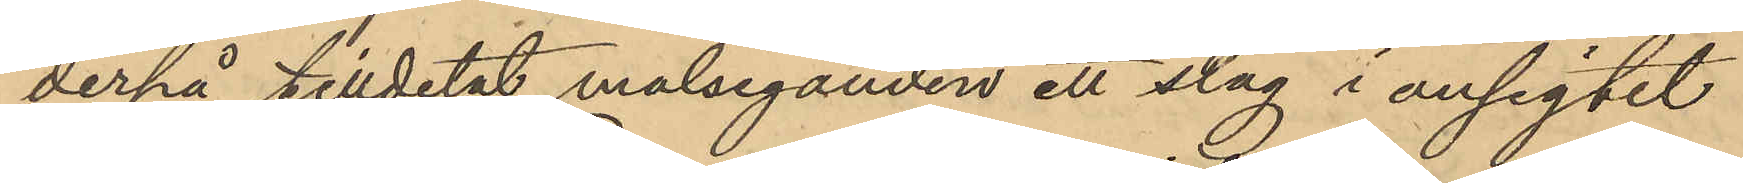derpå tilldelat målseganden ett slag i ansigtet
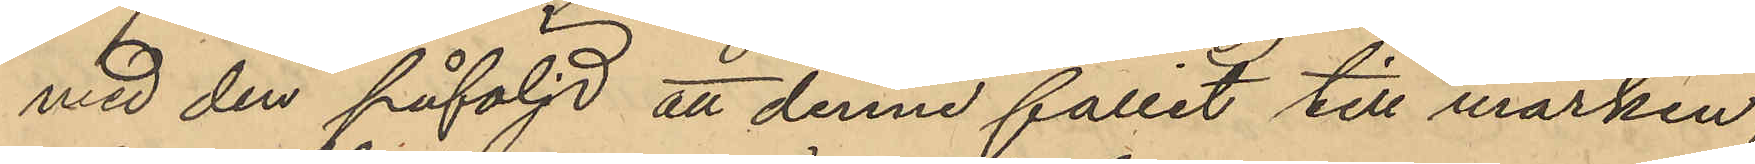med den påföljd att denne fallit till marken
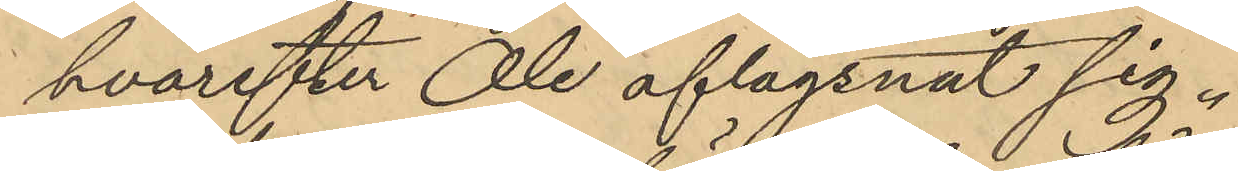hvarefter Ole aflägsnat sig.
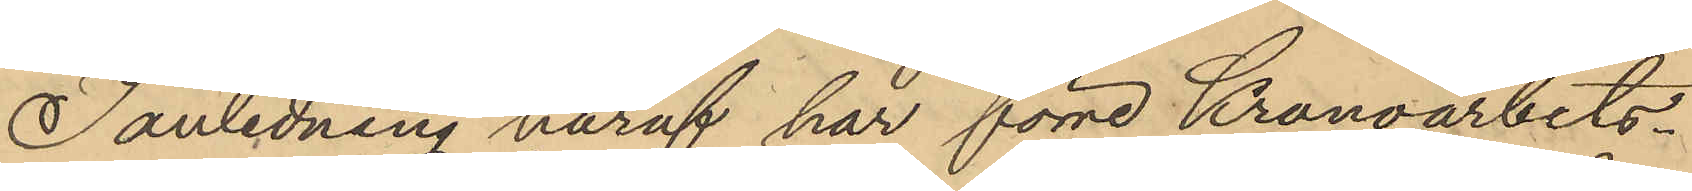I anledning häraf har förre Kronoarbets¬
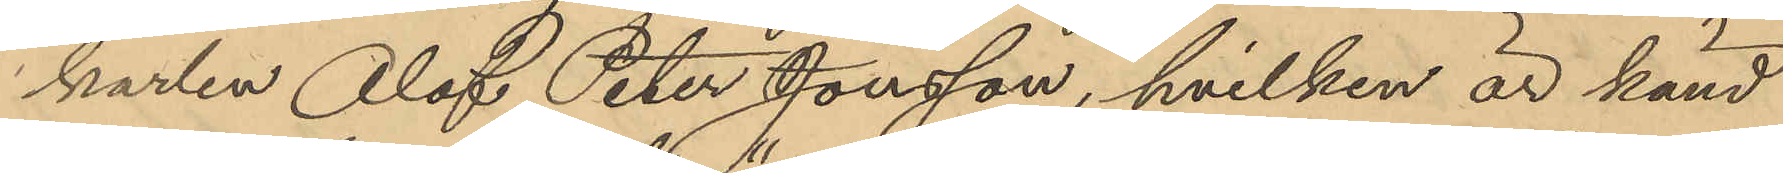karlen Olof Peter Jonsson, hvilken är känd
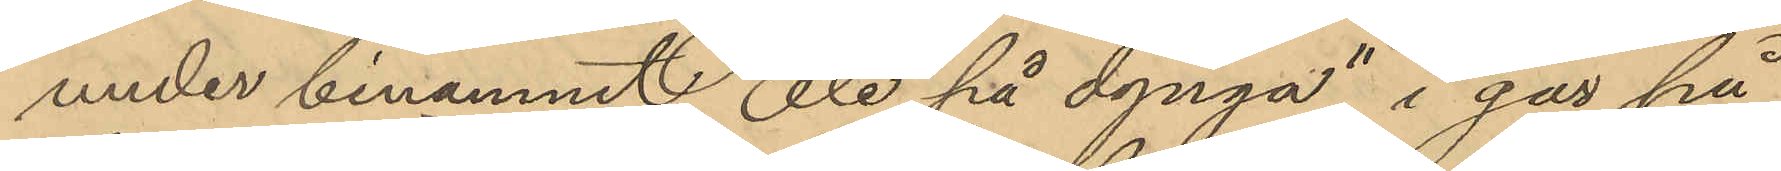under binamnet "Ole på dynga" i går på
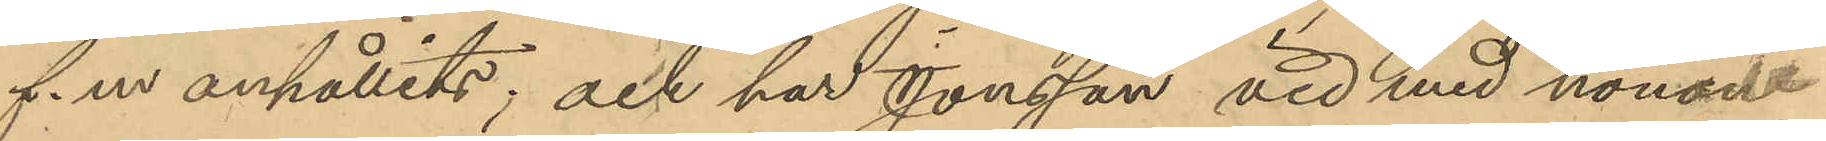f.m anhållits, och har Jonsson vid med honom
